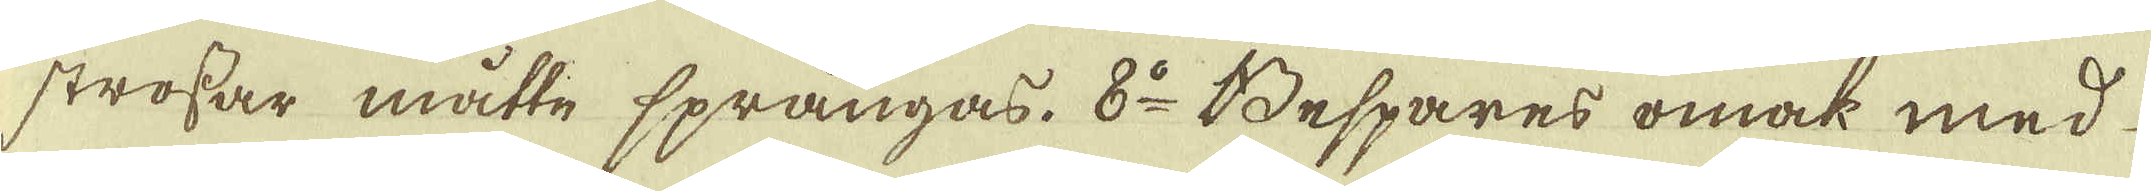strossar måtte sprängas. 8:o Bespares omak med
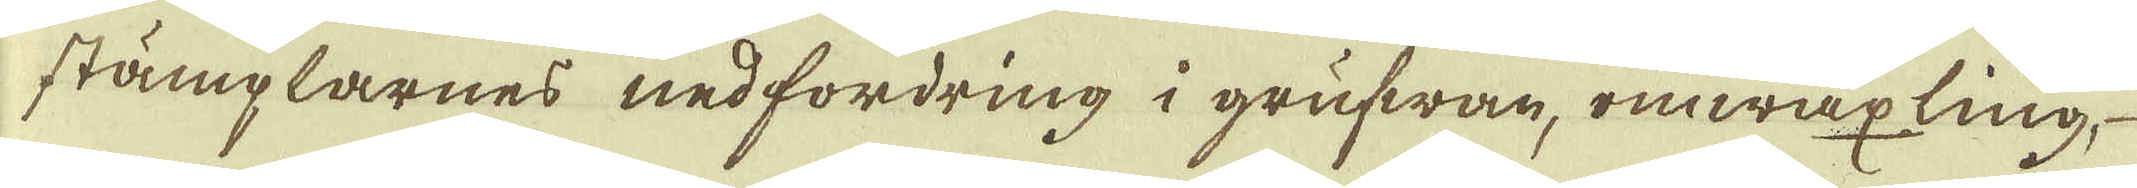stämplarnes nedfordring i grufwan, omwäxling,
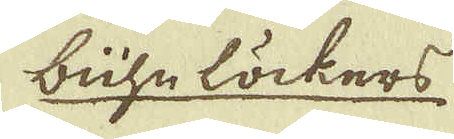lühe löckers
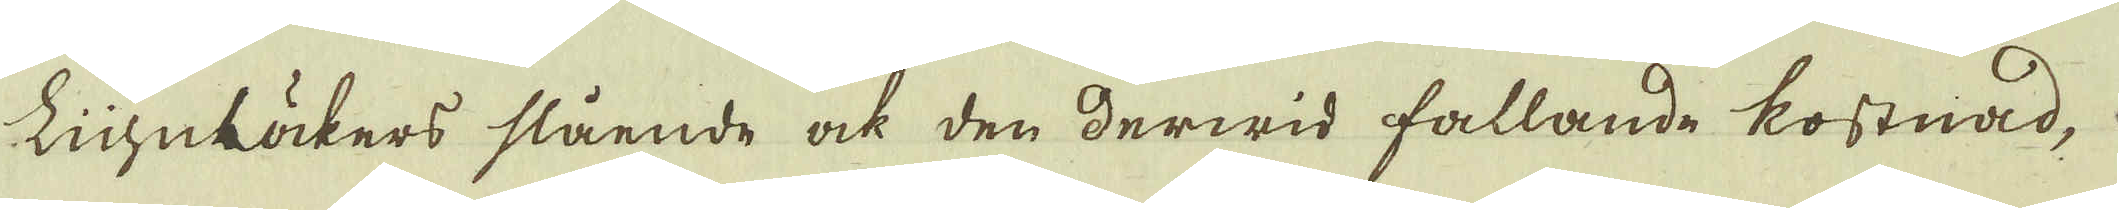Lühelöckers slående ock den derwid fallande kostnad,
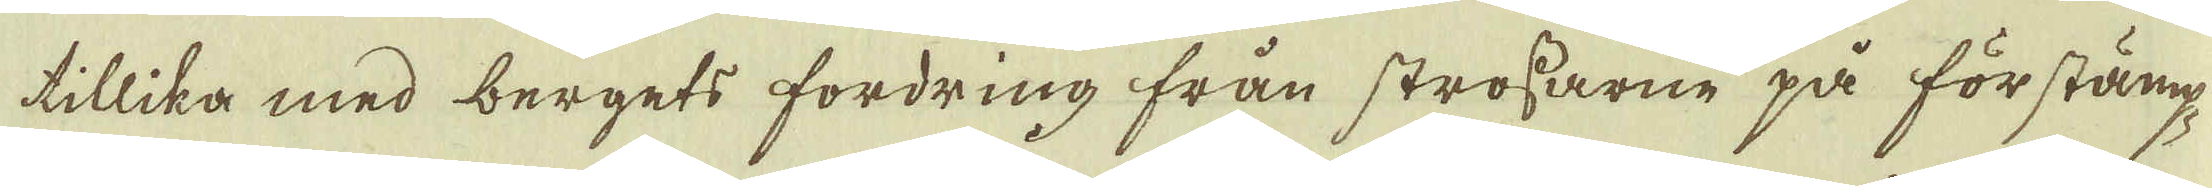tillika med bergets fordring från strossarne på förstämp-
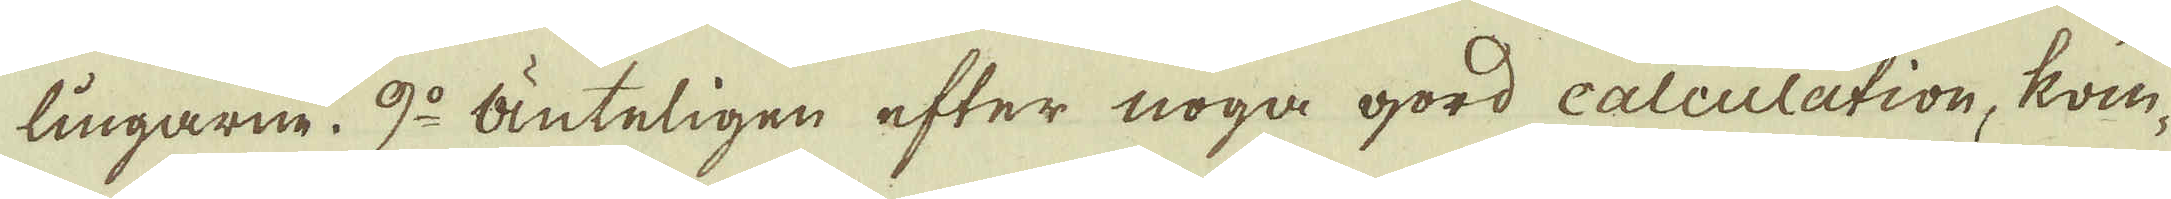lingarne. 9:o Änteligen efter noga gord calculation, kom-
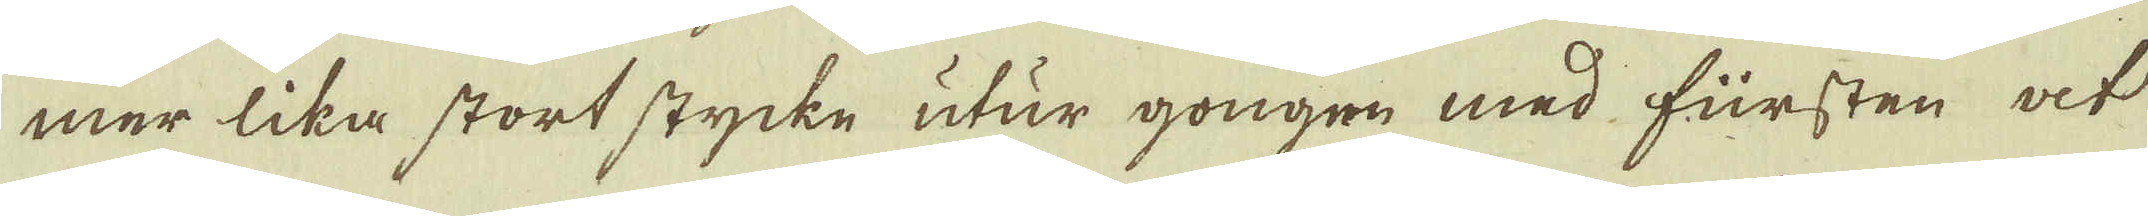mer lika stort stycke utur gongen med fürsten at
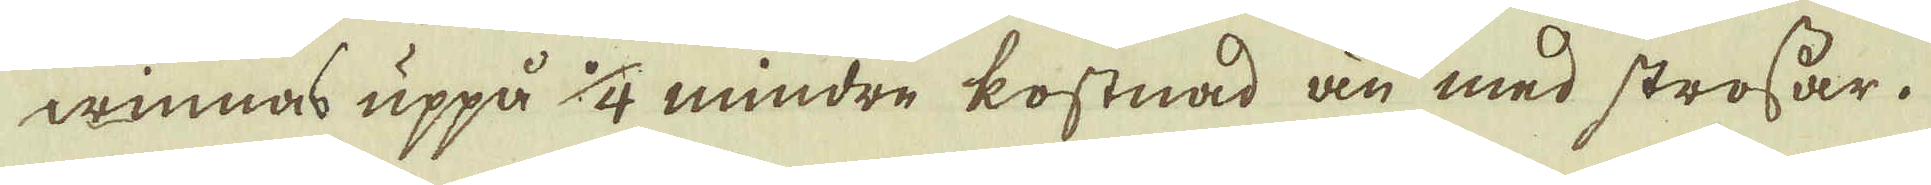winnas uppå 1/4 mindre kostnad än med strossar.
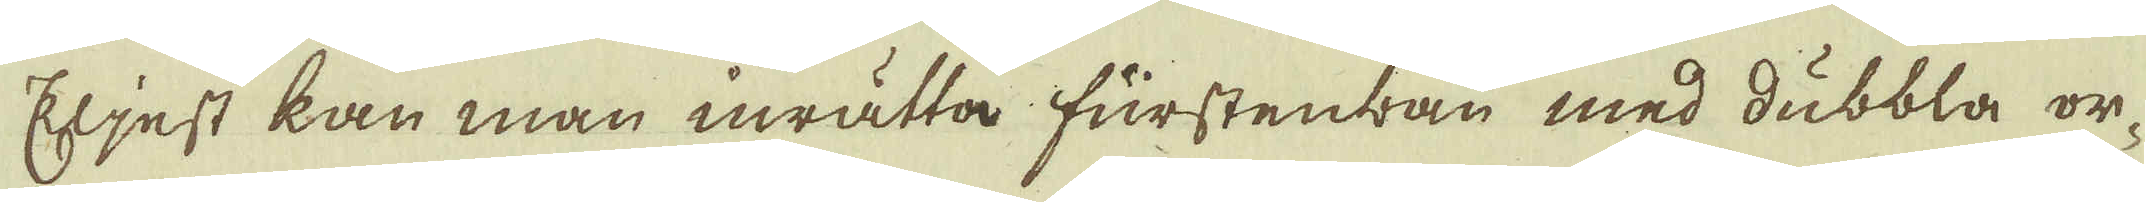Eljest kan man inrätta fürstenbau med dubbla or-
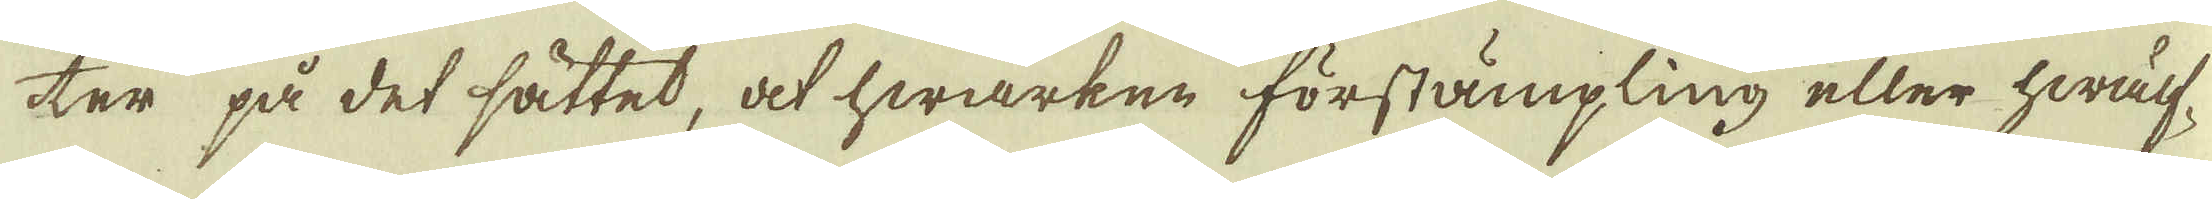ter på det sättet, at hwarken förstämpling eller hwälf-
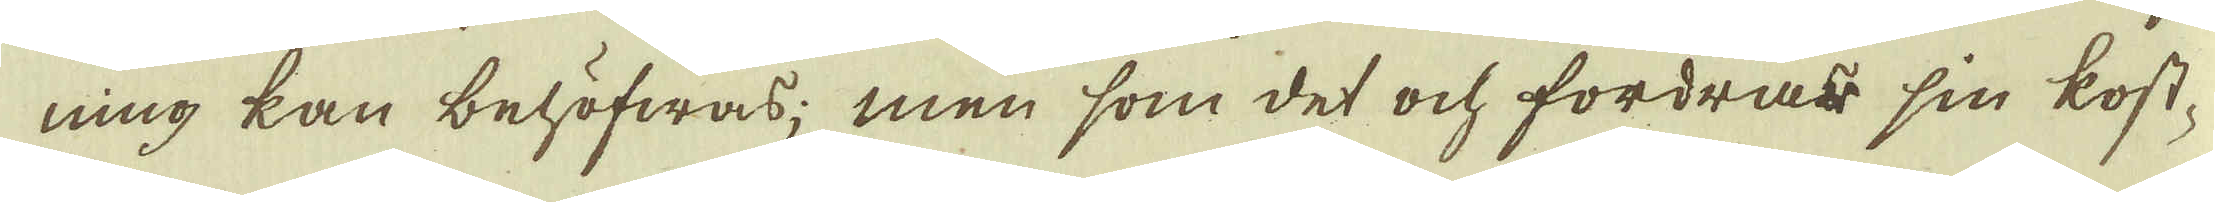ning kan behöfwas; men som det och fordras sin kost-
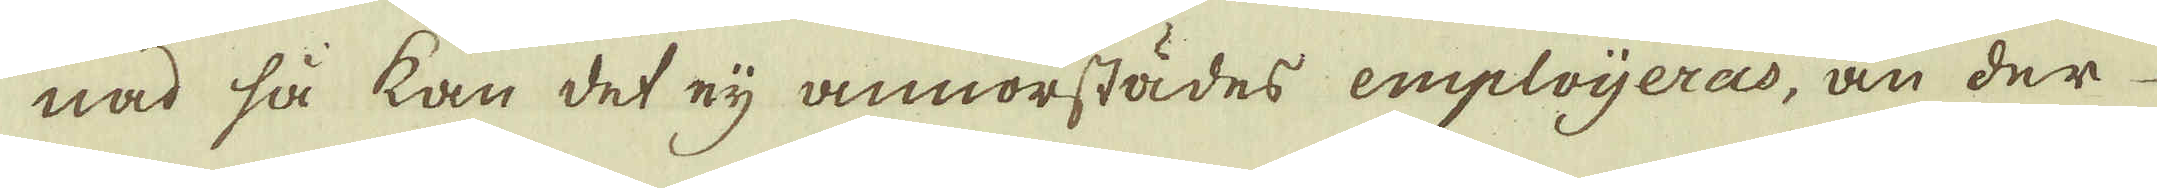nad så kan det eij annorstädes emploijeras, än der
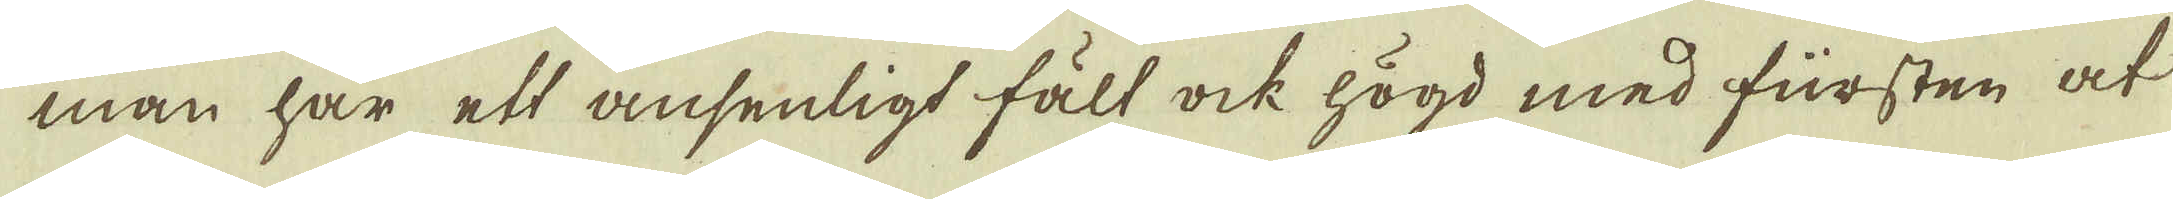man har ett ansenligt fält ock högd med fürsten at
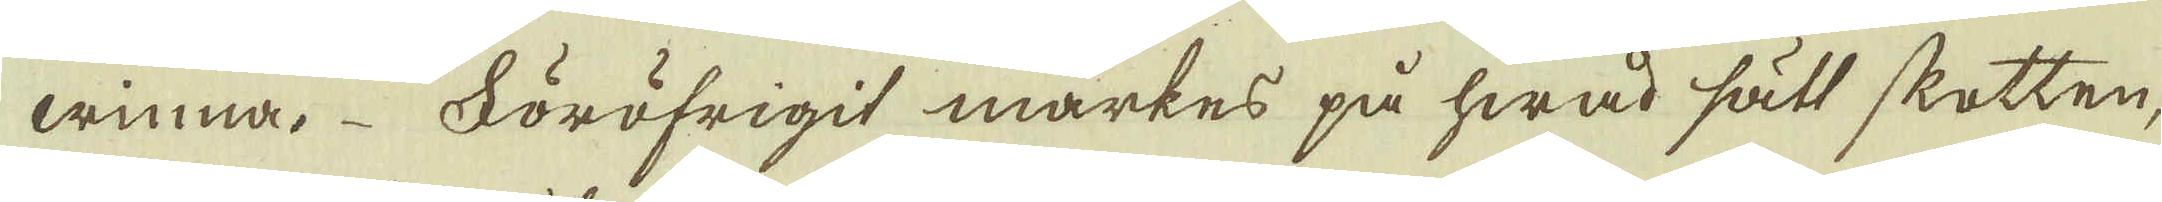winna. Föröfrigit märkes på hwad sätt skotten,
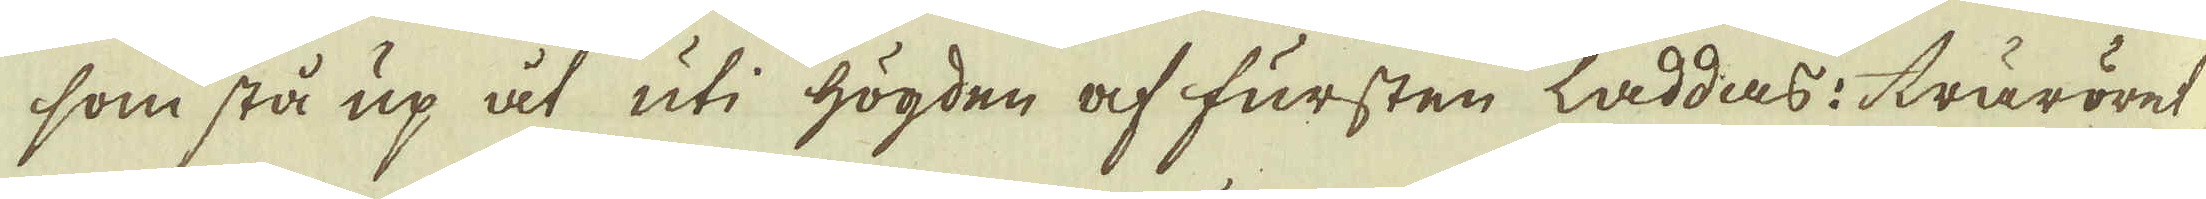som stå up åt uti högden af fursten laddas: träröret
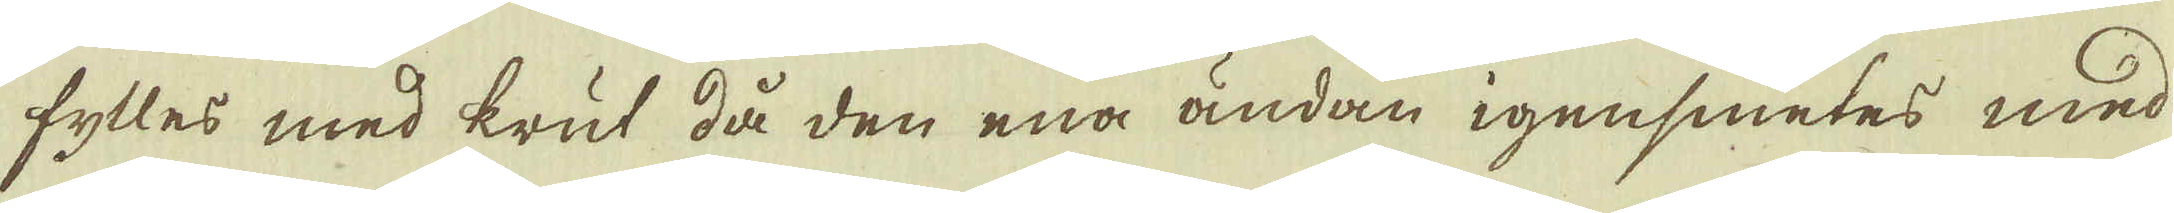fylles med krut då den ena ändan igensmetes med
